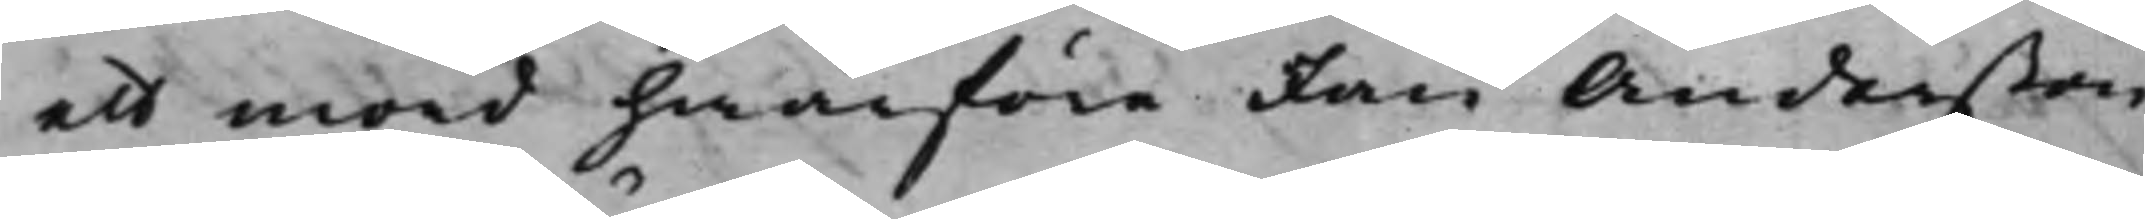ett mord hwarföre Jan Anderßon
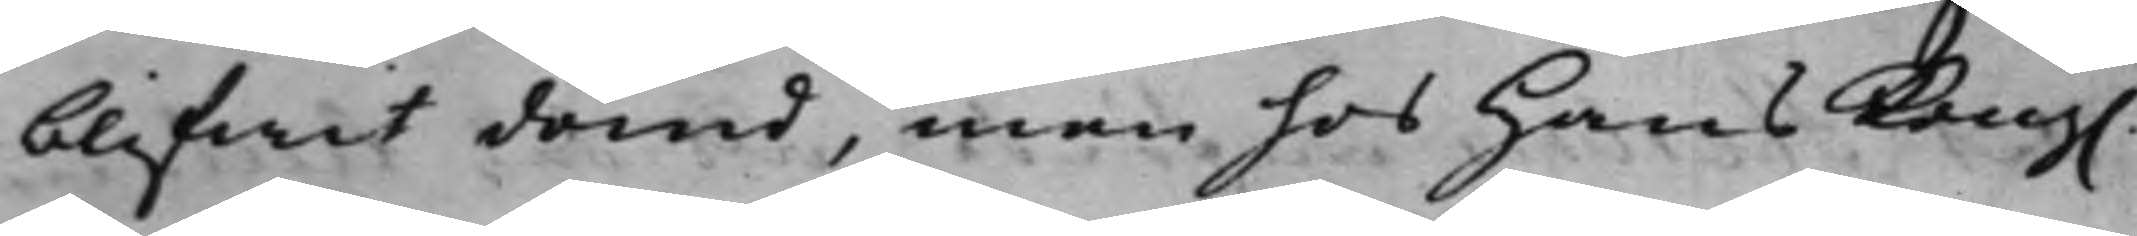blifwit dömd, men hos Hans Kong.
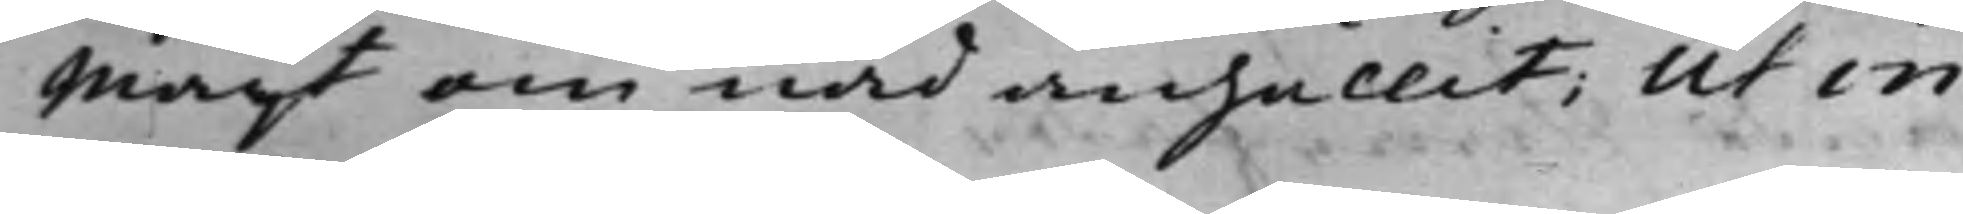Maijt om nåd anhållit, ut in
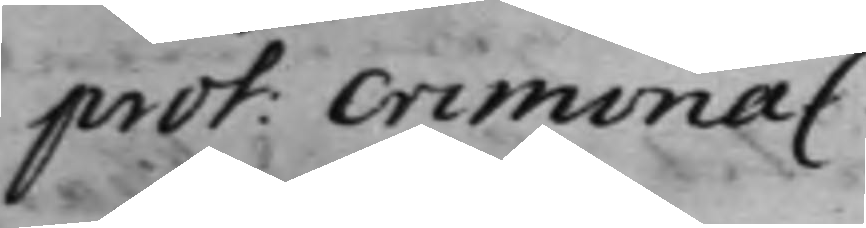prot: criminal.
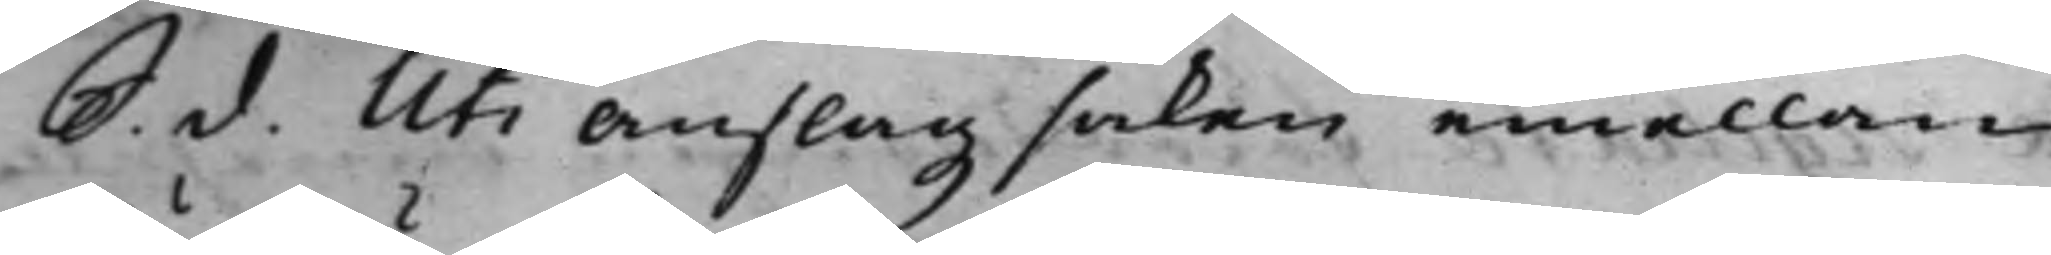S. d. Uti Anslagz saken emellan
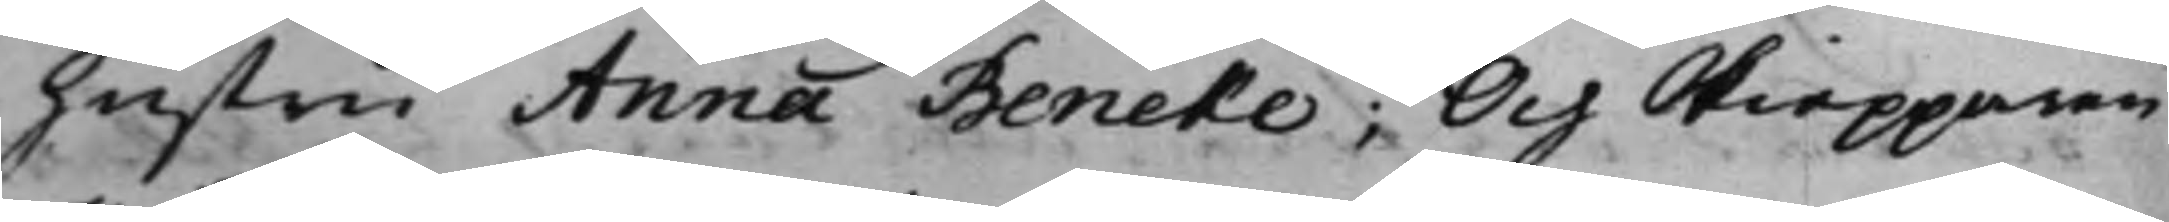Hustru Anna Beneke; Och Skiepparen
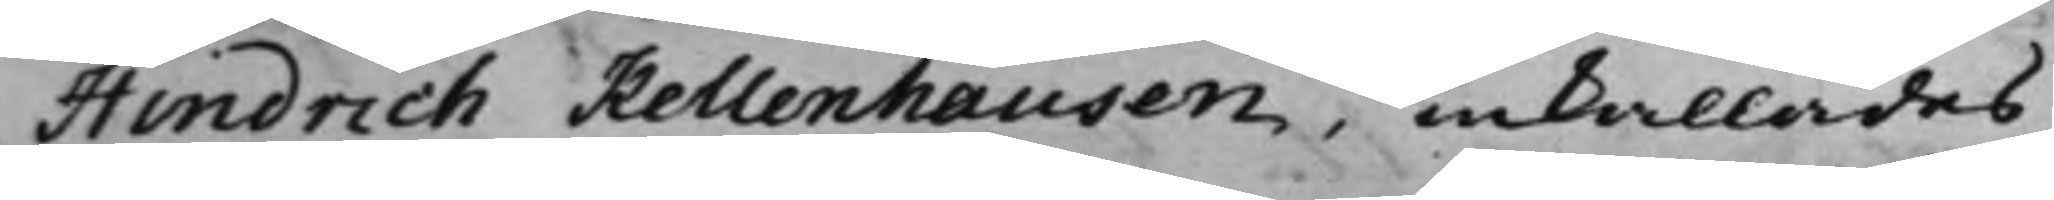Hindrich Kellenhausen, inkallades
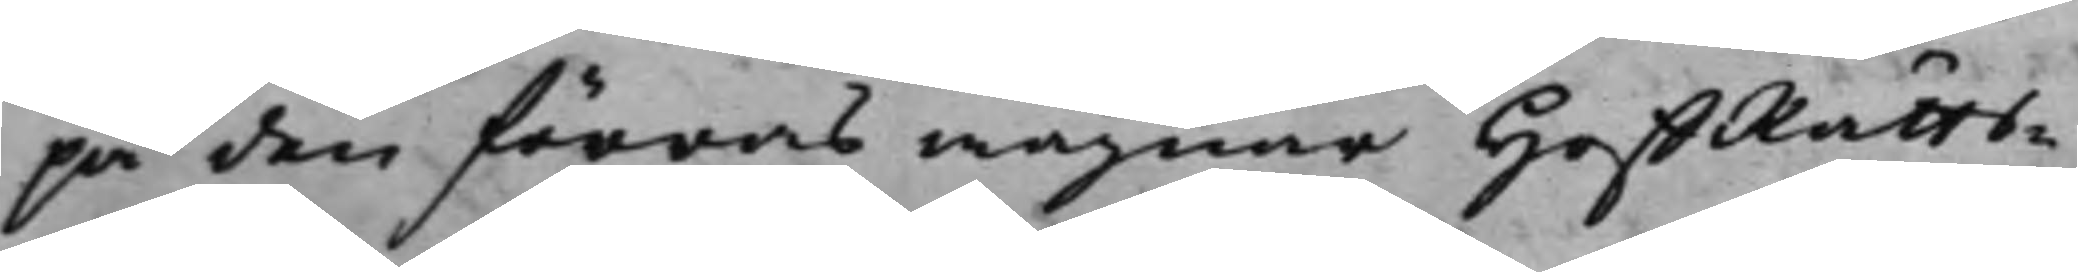på den förras wägnar HoffRätts¬
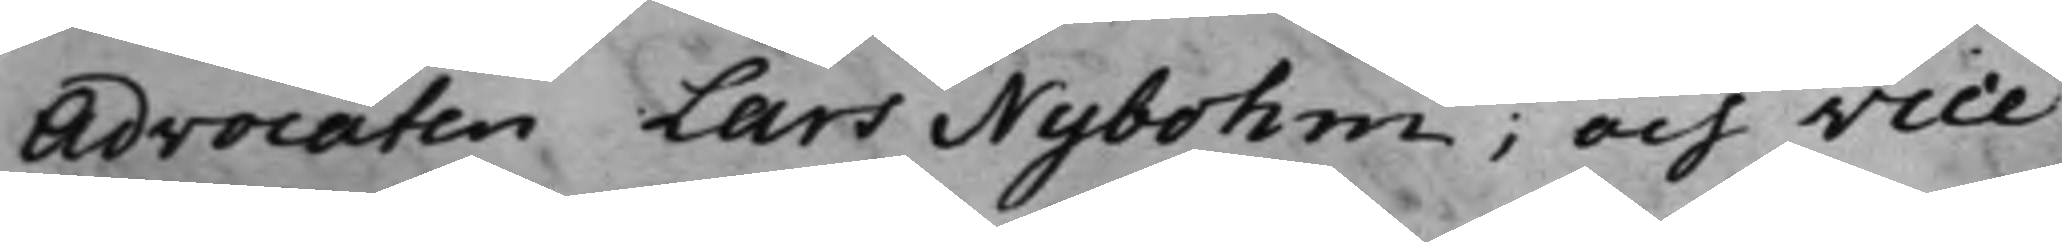Advocaten Lars Nybohm; och vice
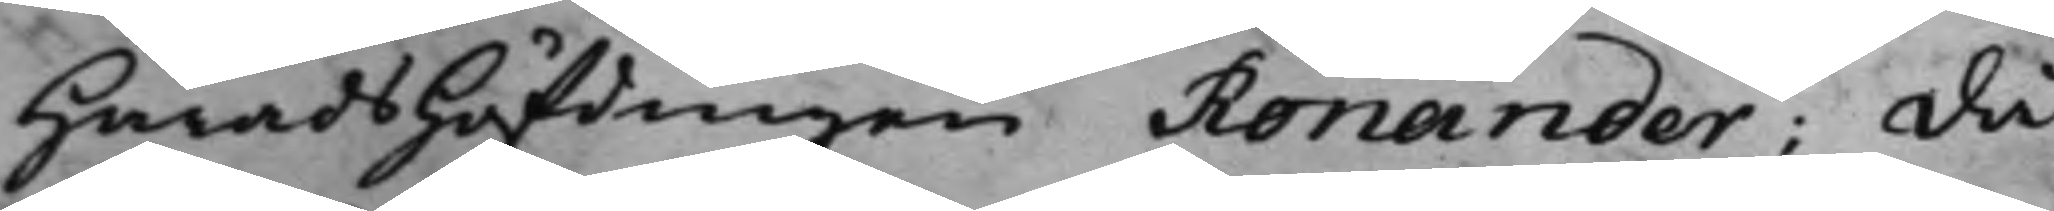HäradsHöfdingen Ronander: då
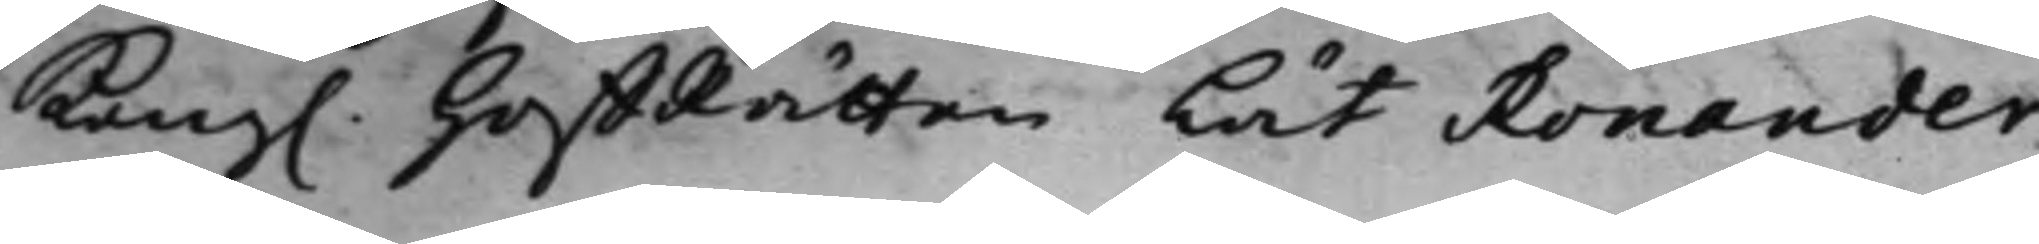Kongl. HoffRätten Lät Ronander
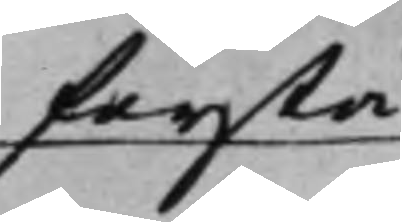förstå
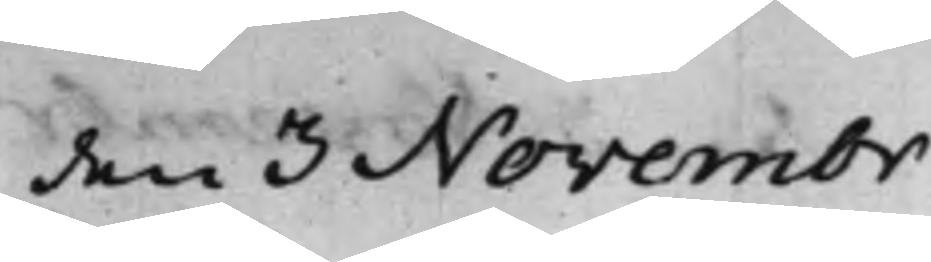den 3 Novembr
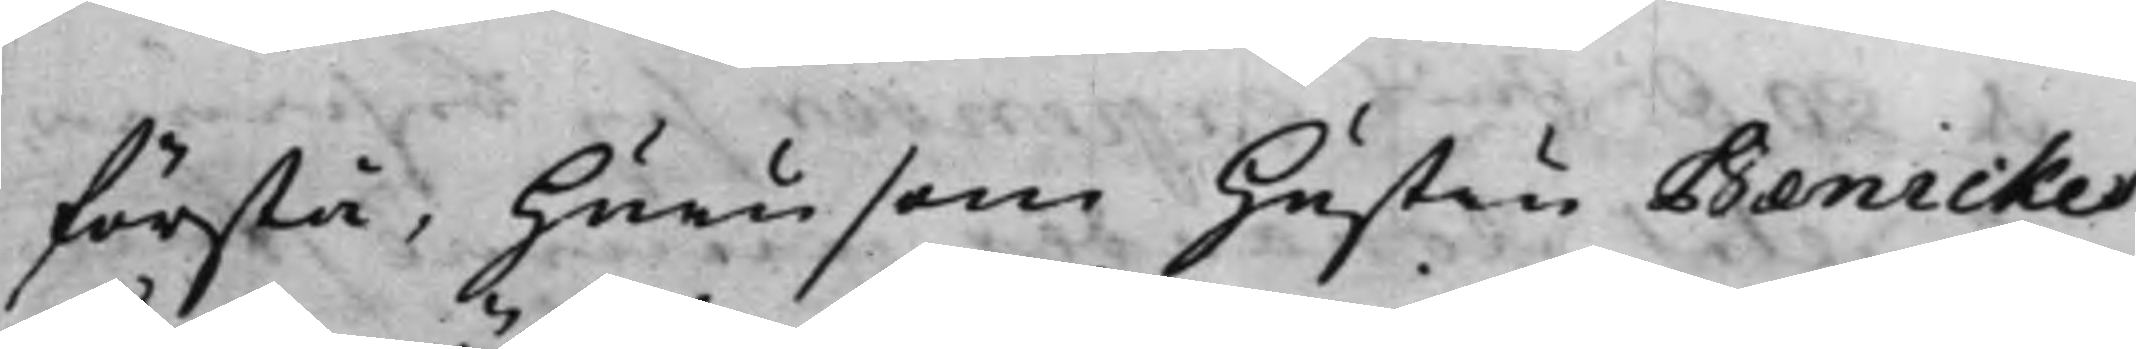förstå, hurusom Hustru Benickes
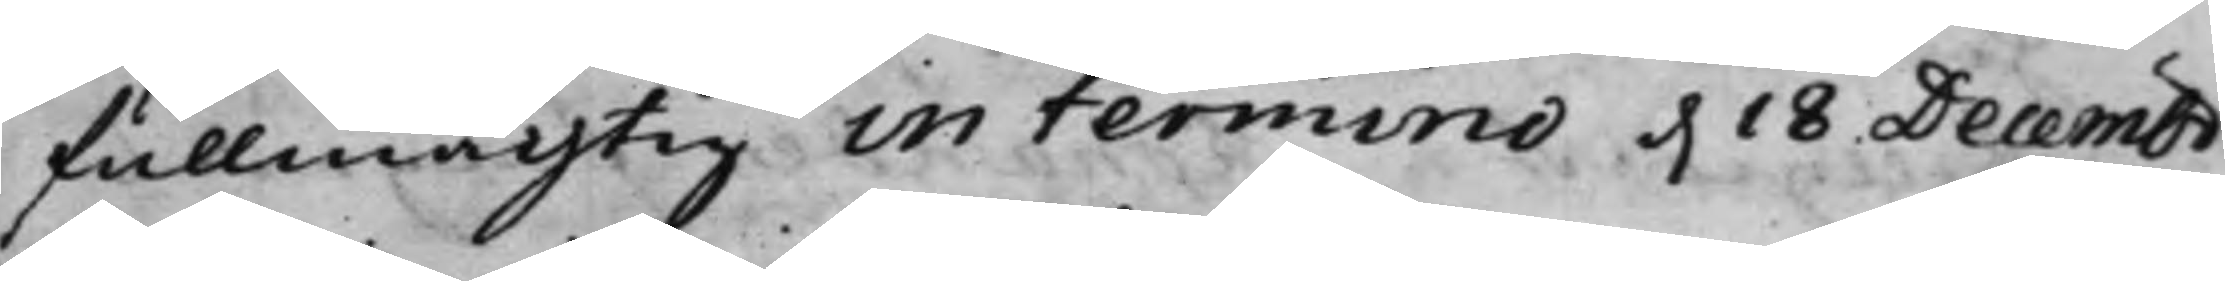fullmächtig in termino d. 18 Decembr
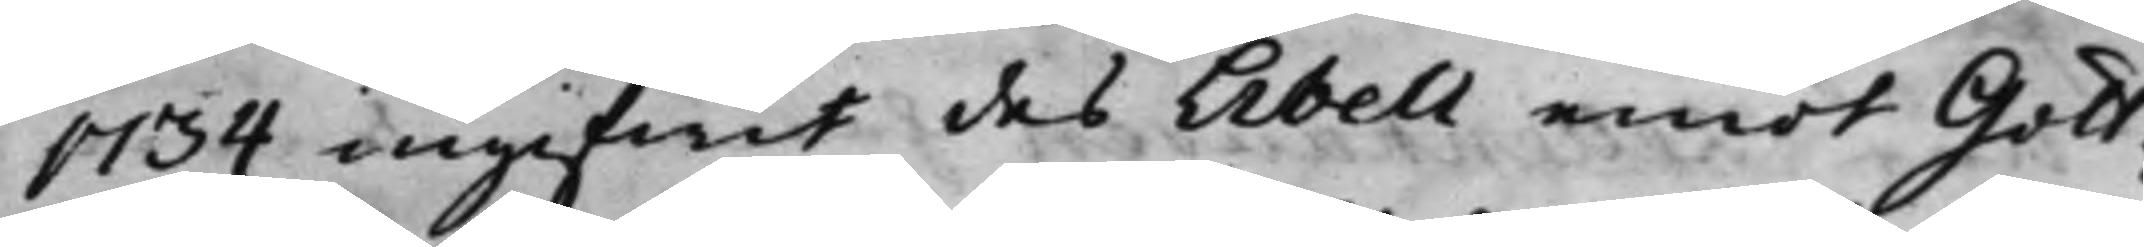1734 ingifwit des Libell emot Gott¬
